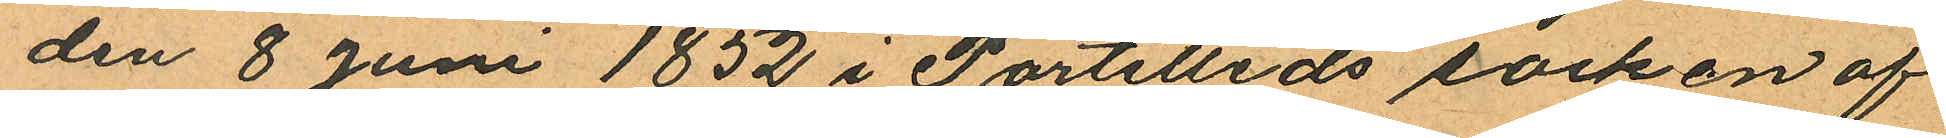den 8 Juni 1852 i Partilleds socken af
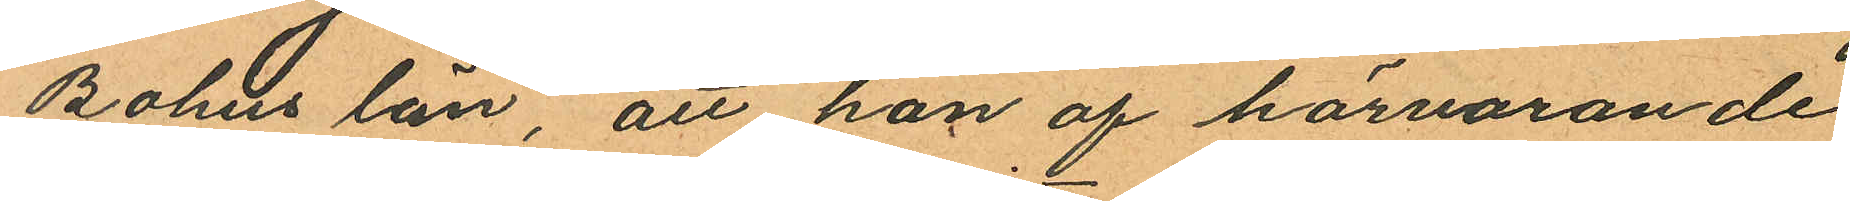Bohus län, att han af härvarande
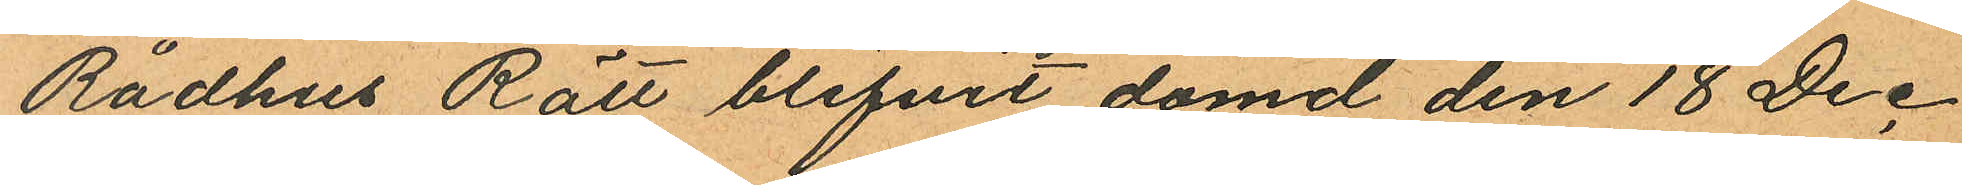Rådhus Rätt blifvit dömd den 18 Dec
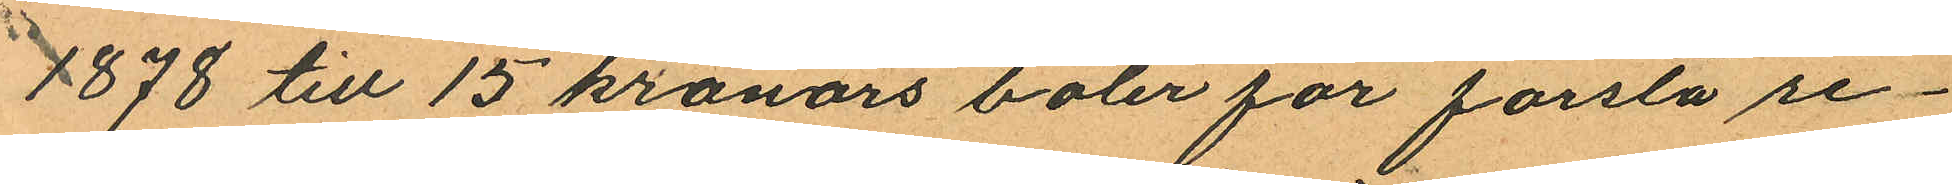1878 till 15 kronors böter för första re¬
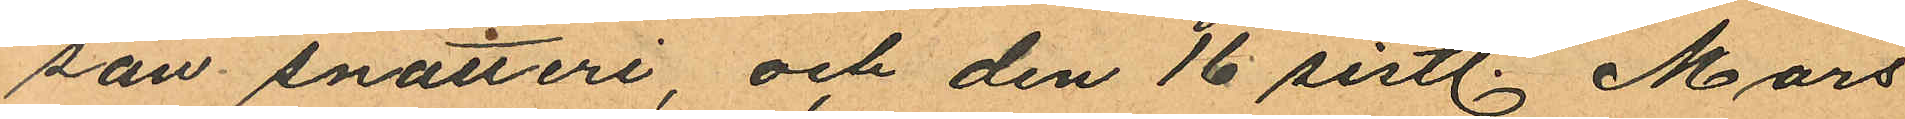san snatteri, och den 16 sistl. Mars
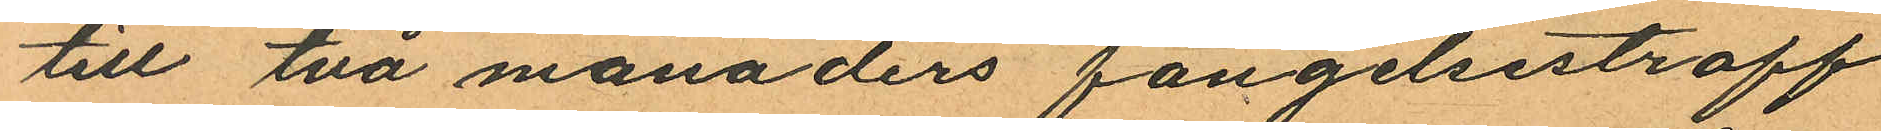till två månaders fängelsestraff
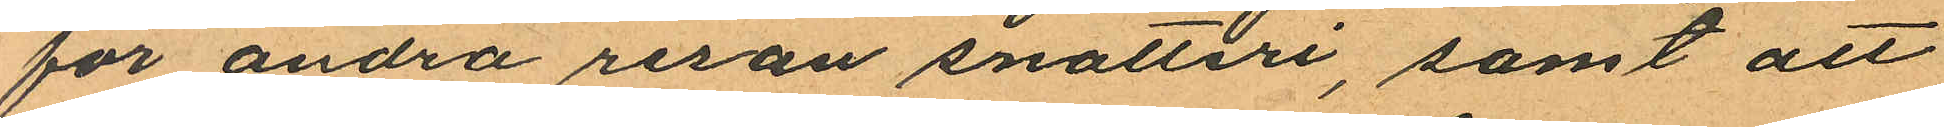för andra resan snatteri, samt att
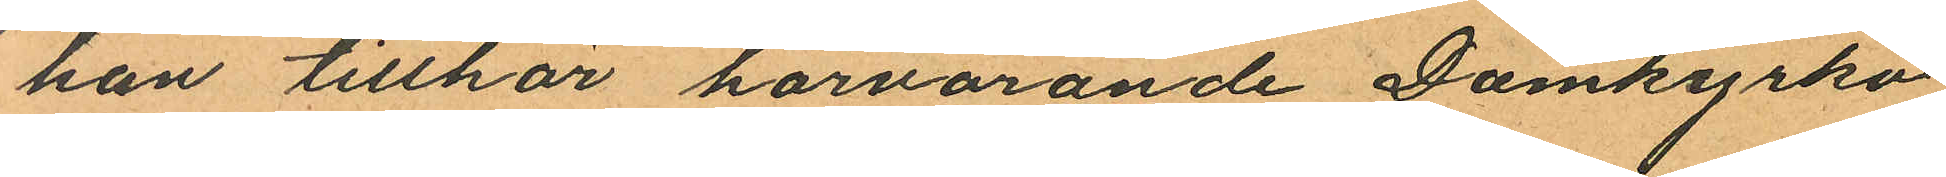han tillhör härvarande Domkyrko
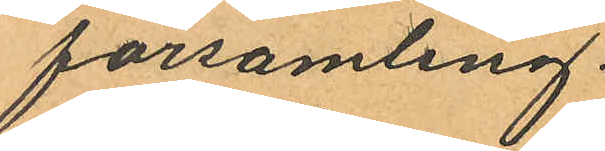församling.
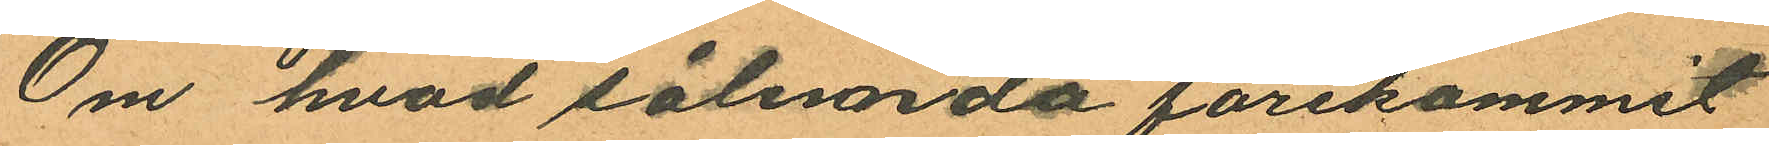Om hvad sålunda förekommit
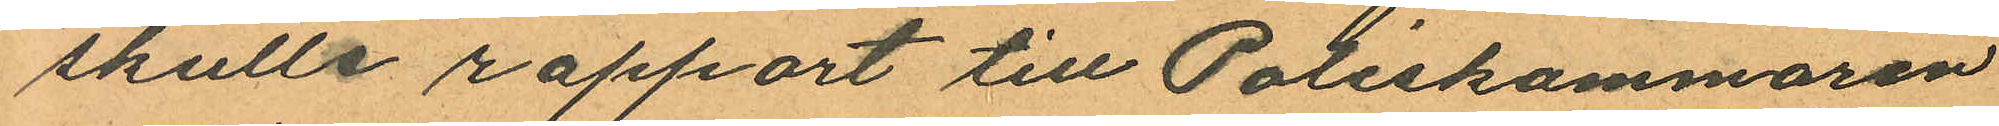skulle rapport till Poliskammaren
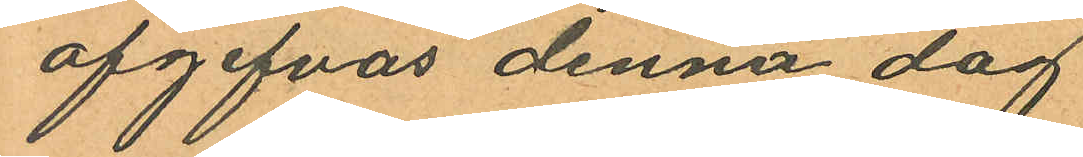afgifvas denna dag
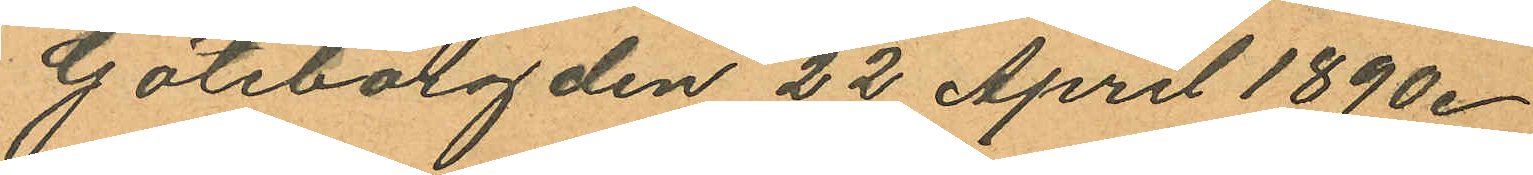Göteborg den 22 April 1890.
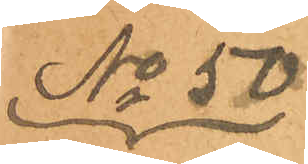No 50
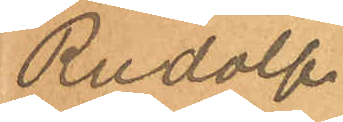Rudolf
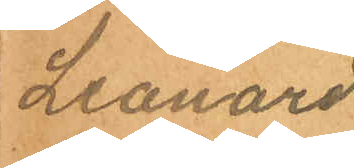Leonard
